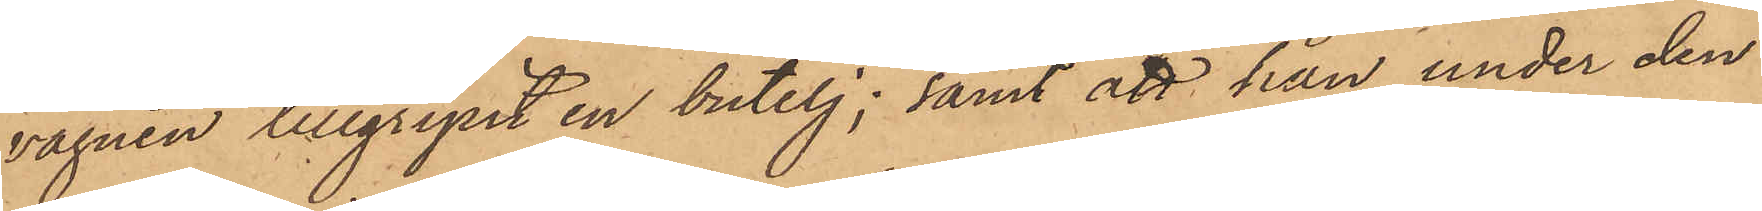vagnen tillgripit en butelj; samt att han under den
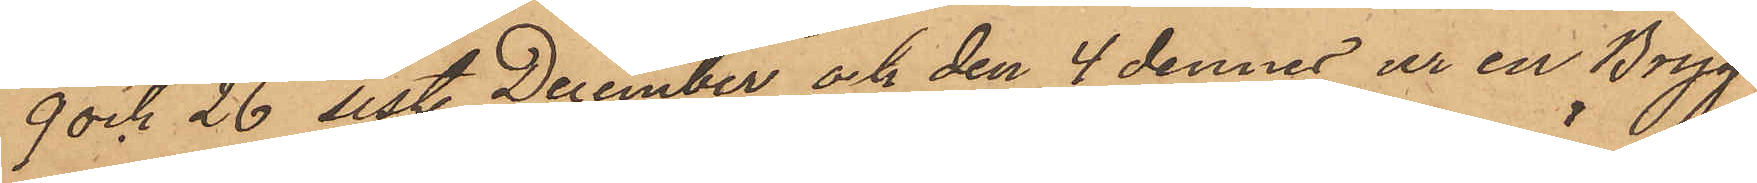9 och 26 sistl. December och den 4 dennes ur en Bryg¬
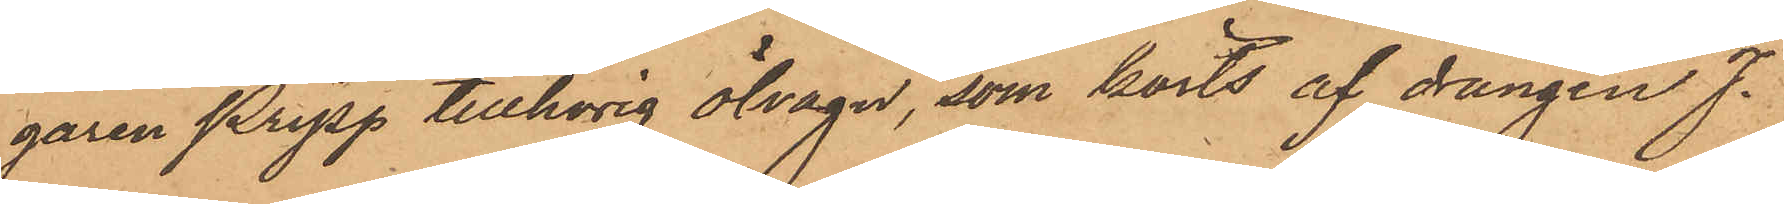garen Pripp tillhörig ölvagn, som körts af drängen J.
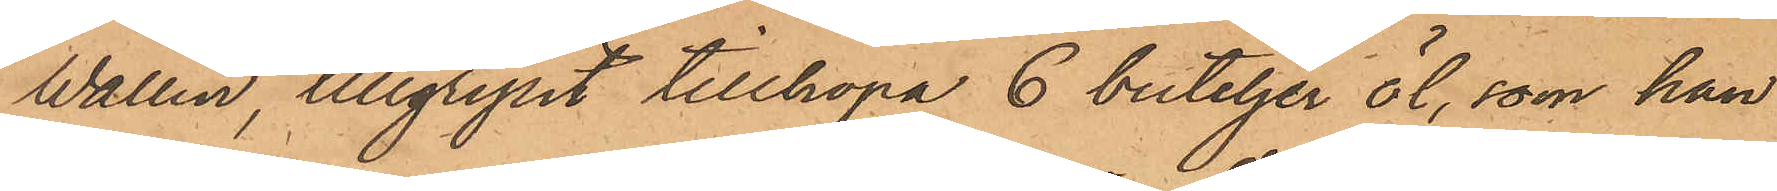Wallin, tillgripit tillhopa 6 buteljer öl, som han
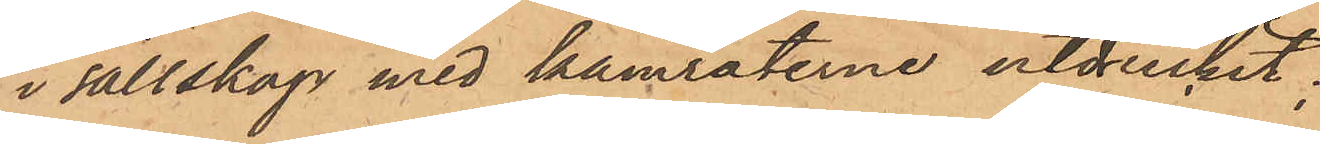i sällskap med kamraterne utdruckit;
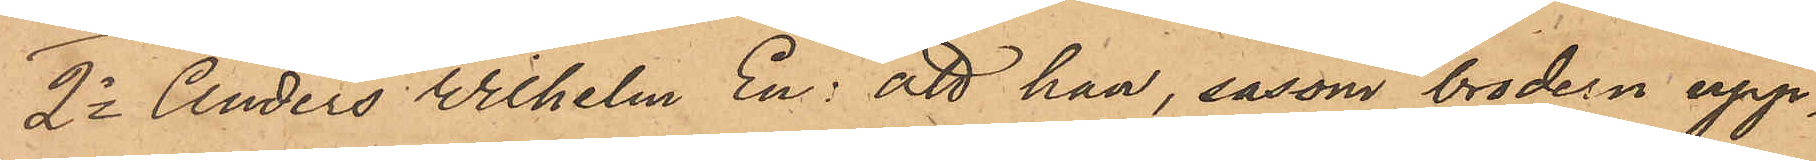2o Anders Wilhelm En: att han, såsom brodern upp¬
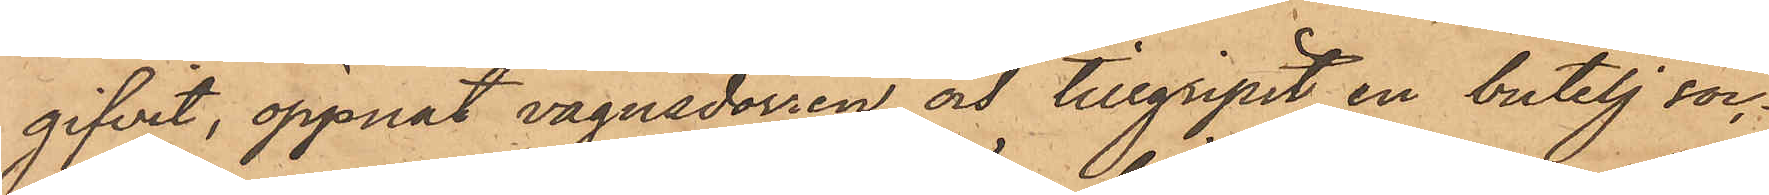gifvit, öppnat vagnsdörren och tillgripit en butelj soc¬
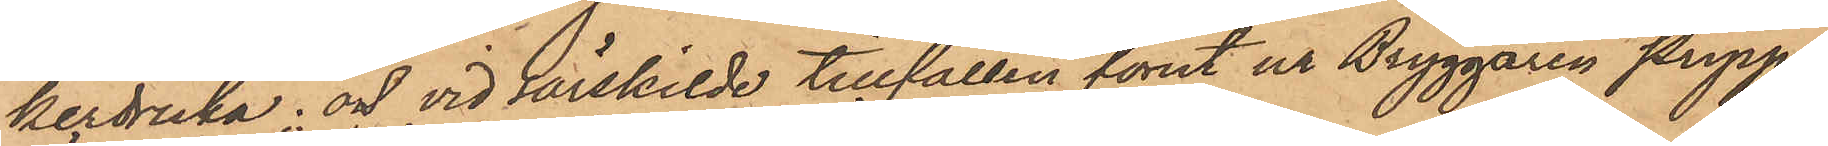kerdricka; och vid särskilde tillfällen förut ur Bryggaren Pripps
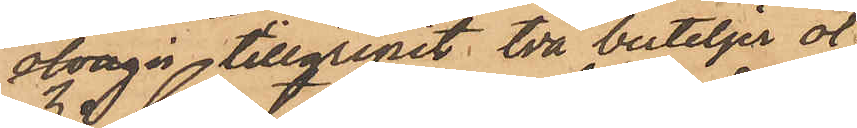ölvagn tillgripit två buteljer öl;
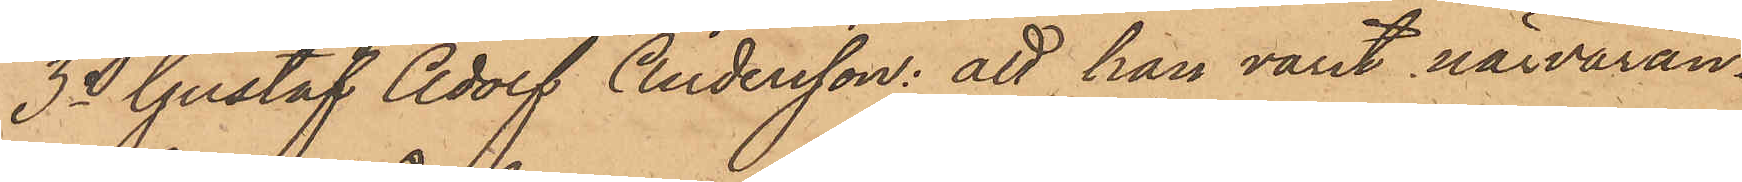3o Gustaf Adolf Andersson: att han varit närvaran¬
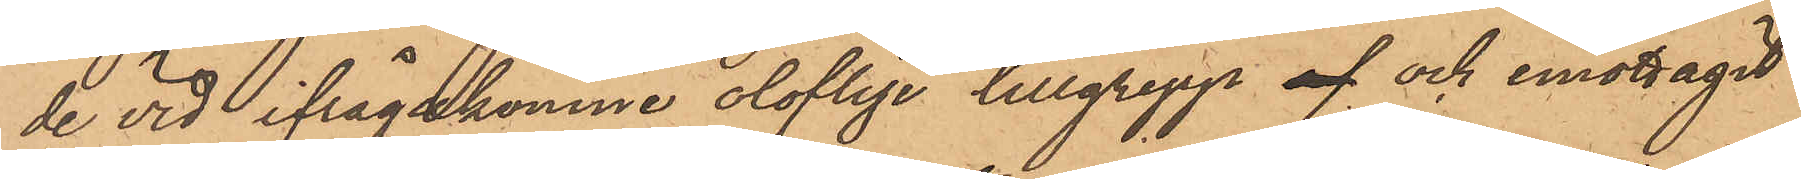de vid ifrågakomne oloflige tillgrepp af och emottagit
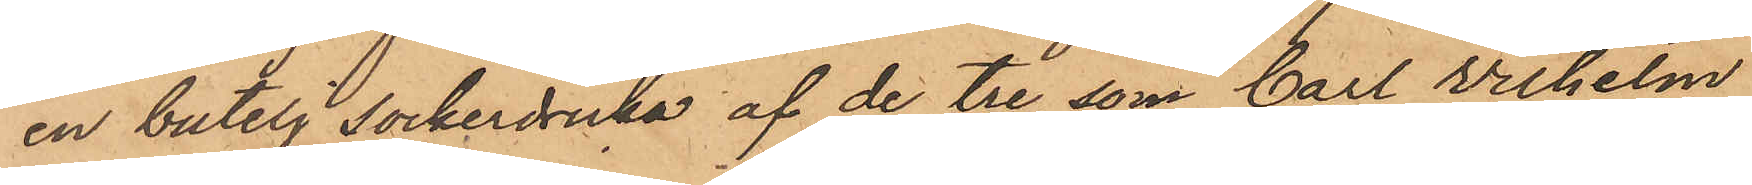en butelj sockerdricka af de tre som Carl Wilhelm
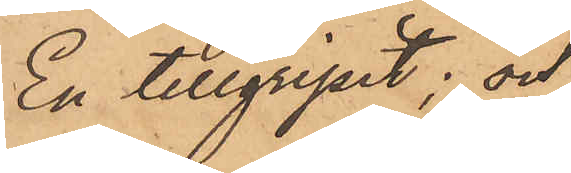En tillgripit; och
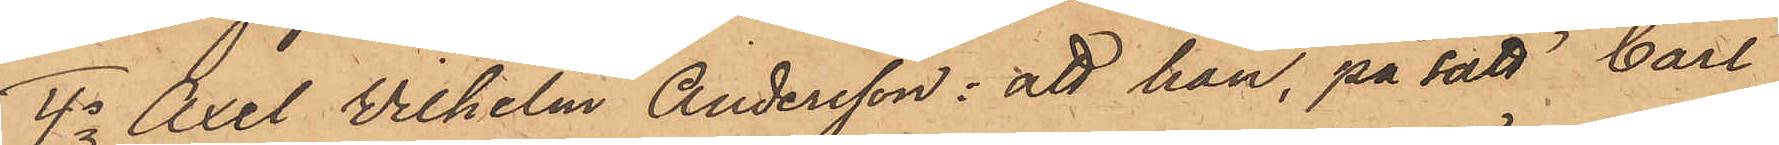4o Axel Wilhelm Andersson: att han, på sätt Carl
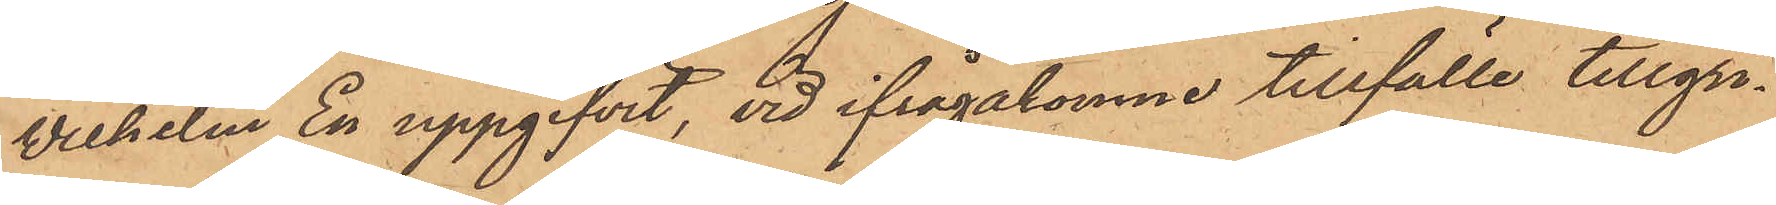Wilhelm En uppgifvit, vid ifrågakomne tillfälle tillgri¬
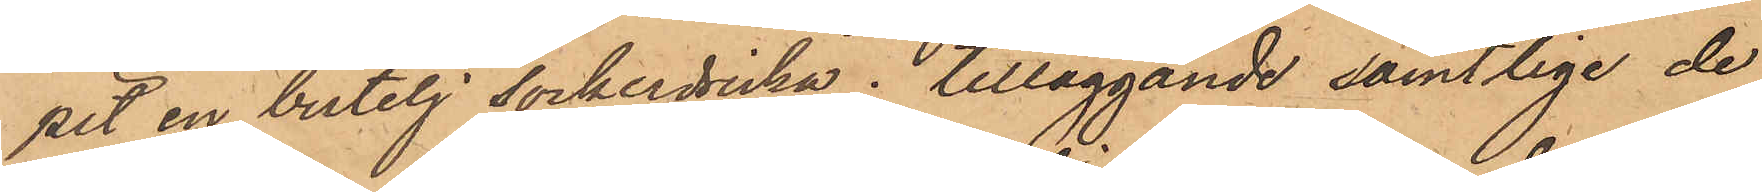pit en butelj sockerdricka; tilläggande samtlige de
